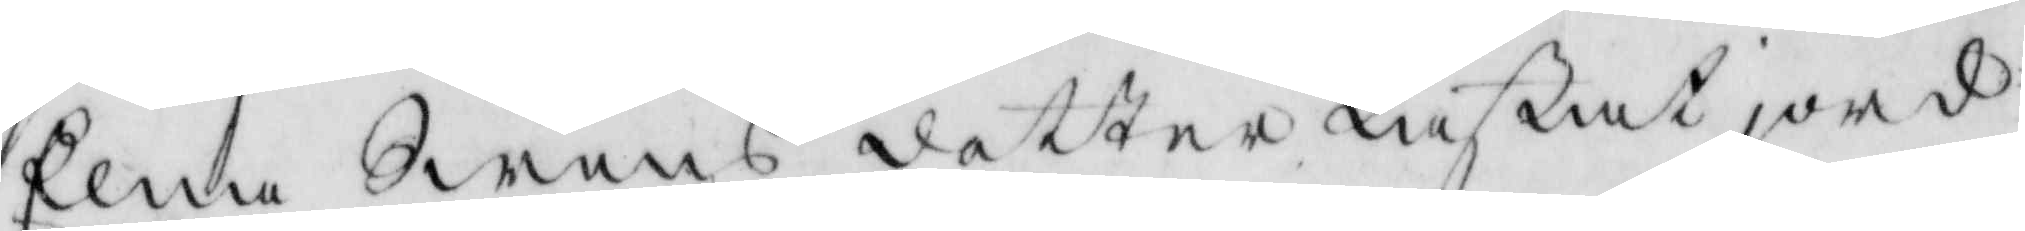Elna Swens dotter kastat jord
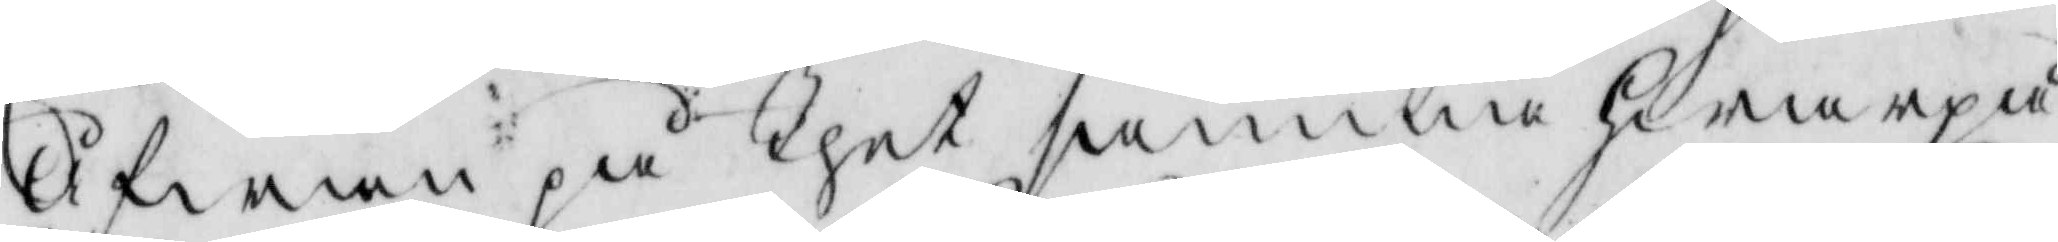Åfwan på thet samma hwarpå
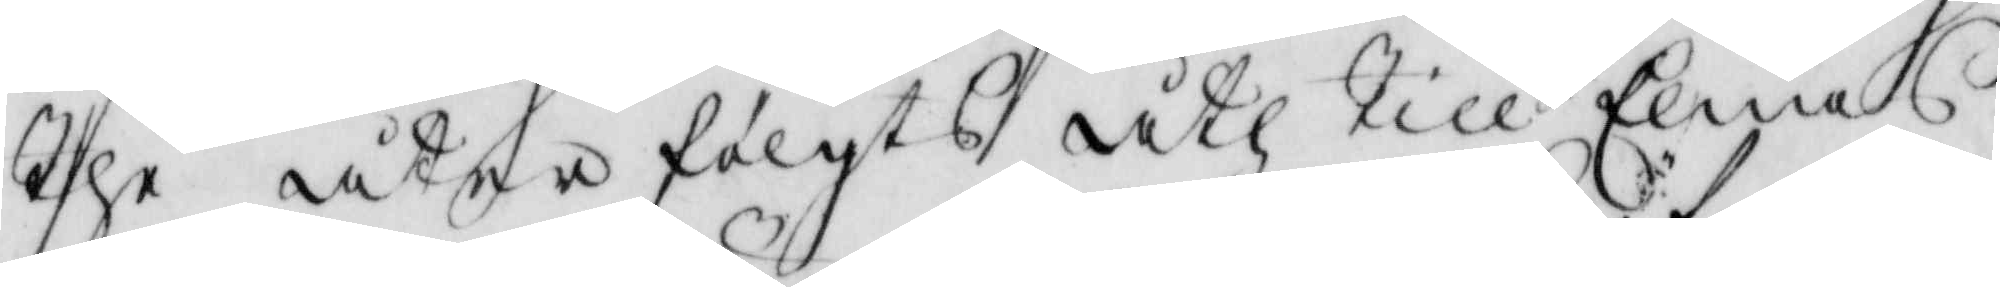the åter fölgts åth till Elnas
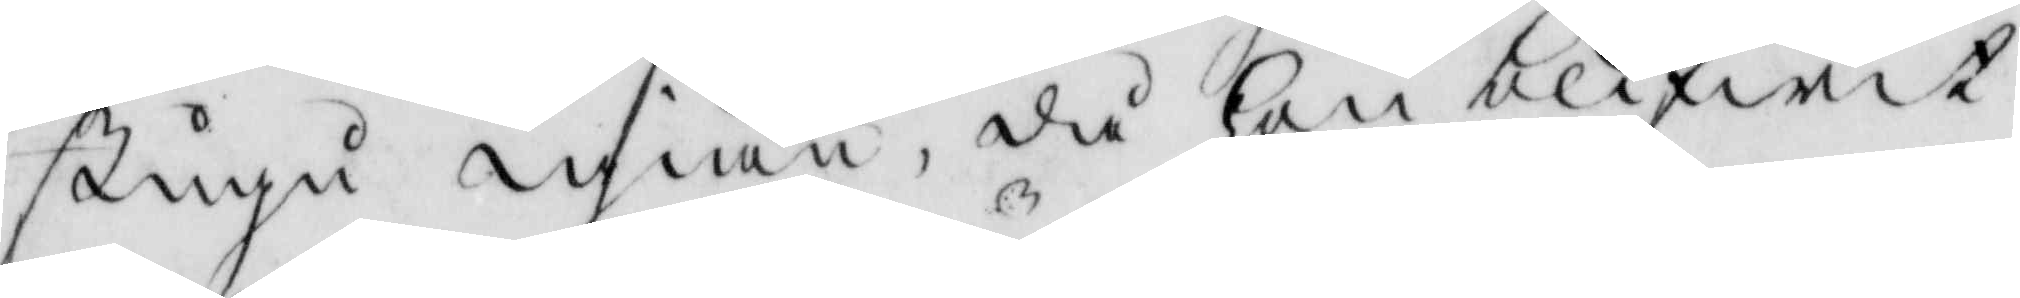stugu igiän, då hon blifwit
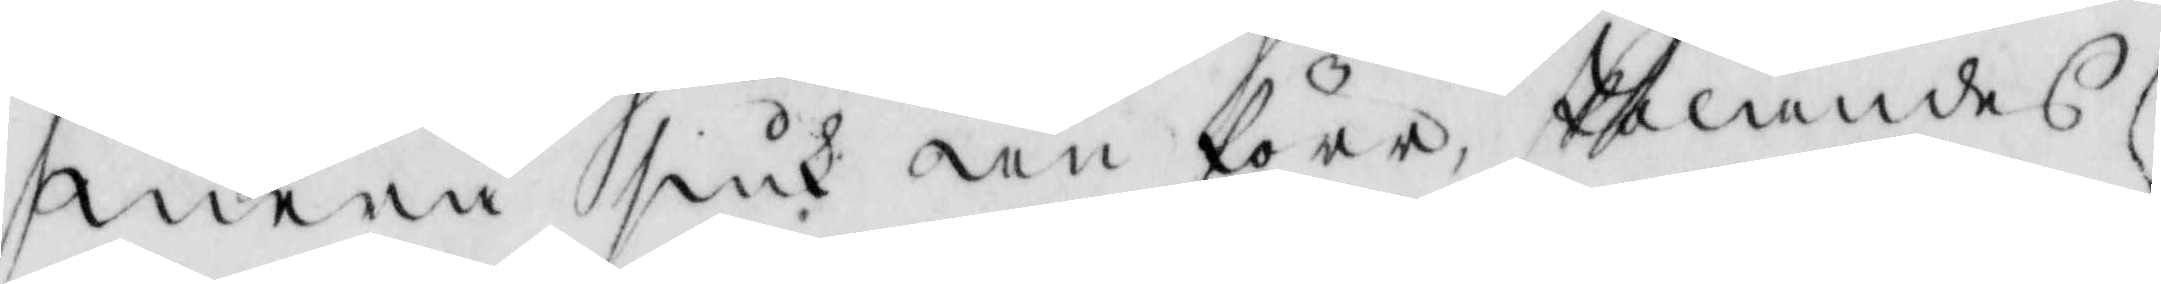mera siuk än före, skolandes
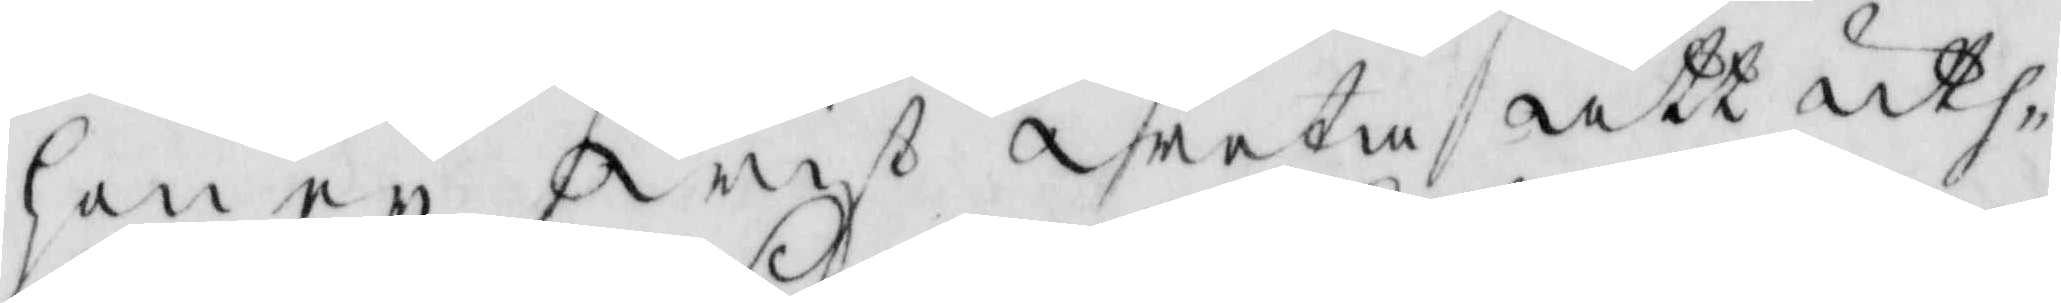hon ey wist weta att uth¬
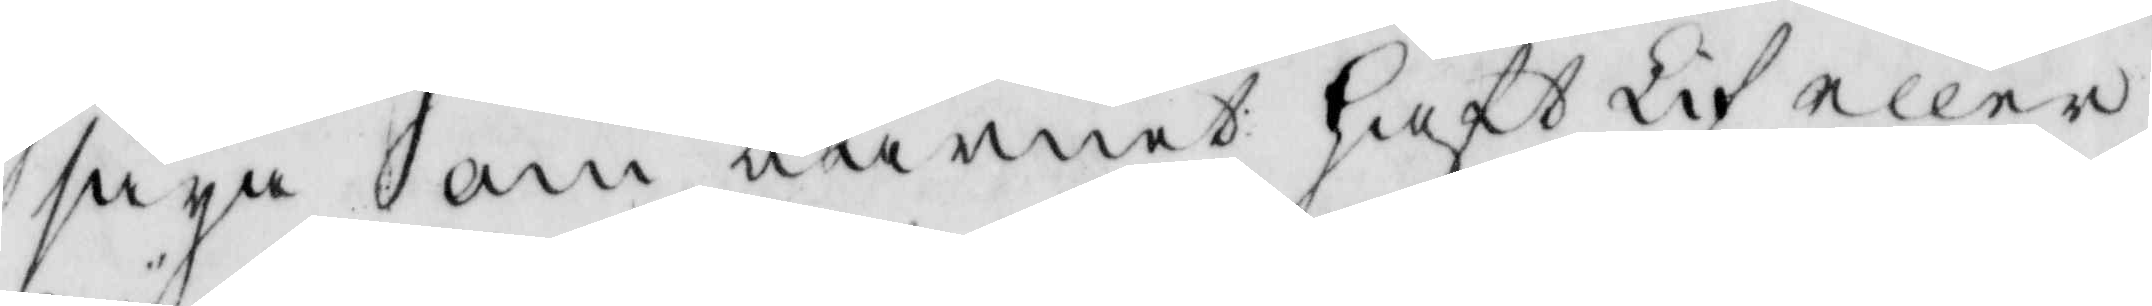säya om barnet haft Lif eller
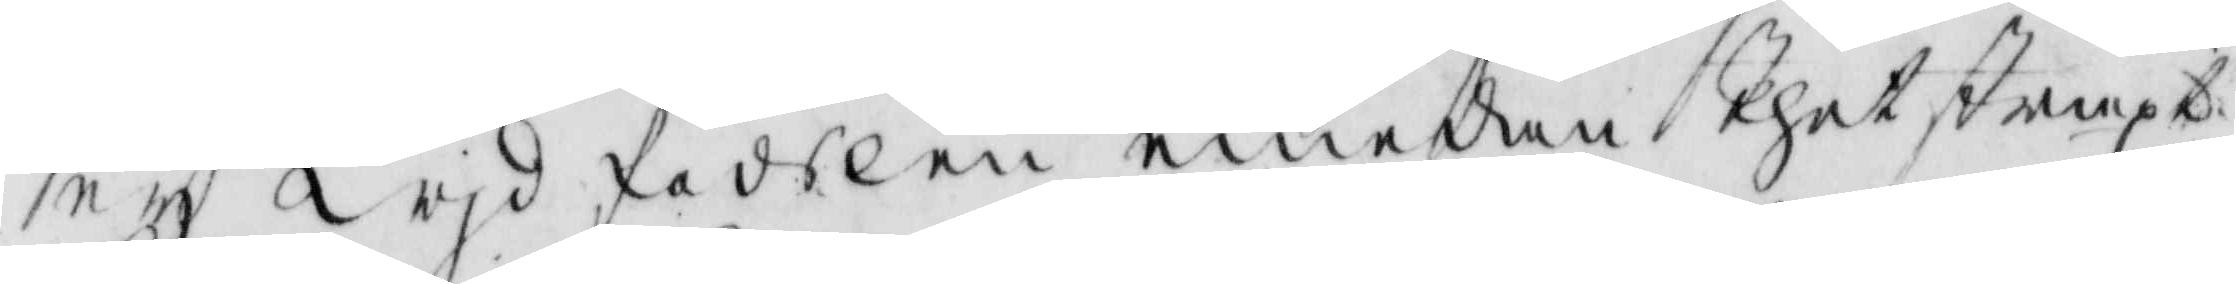ey wid födslen emedan thet straxt
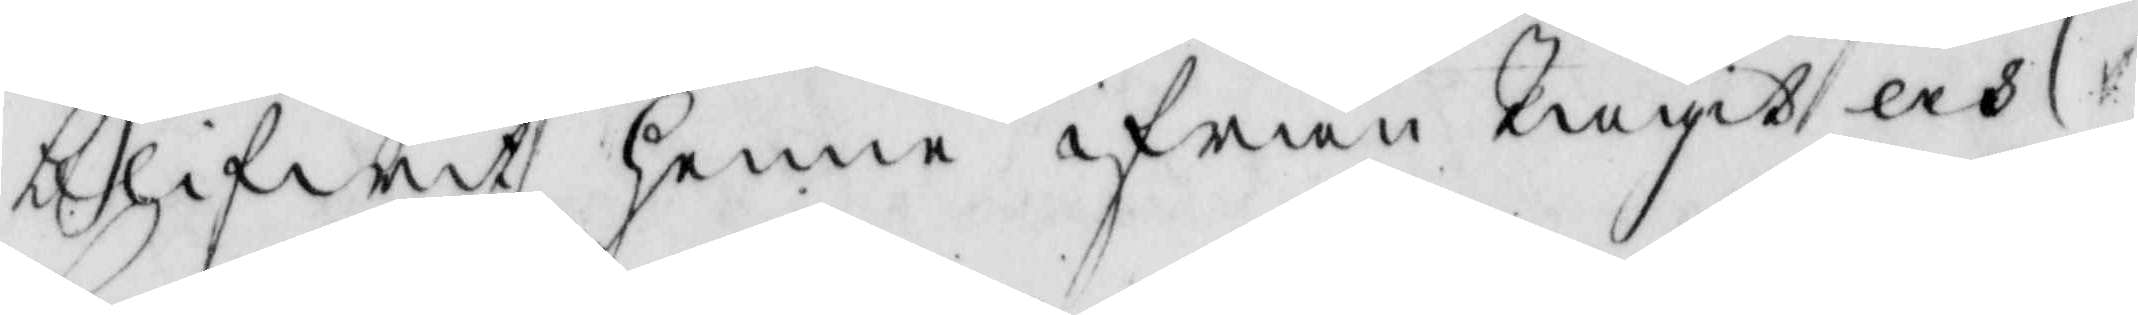blifwit henne ifrån tagit och
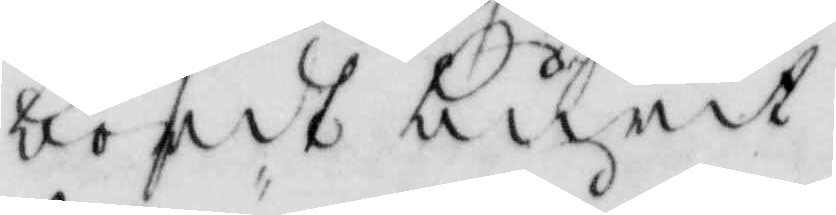bordt burit.
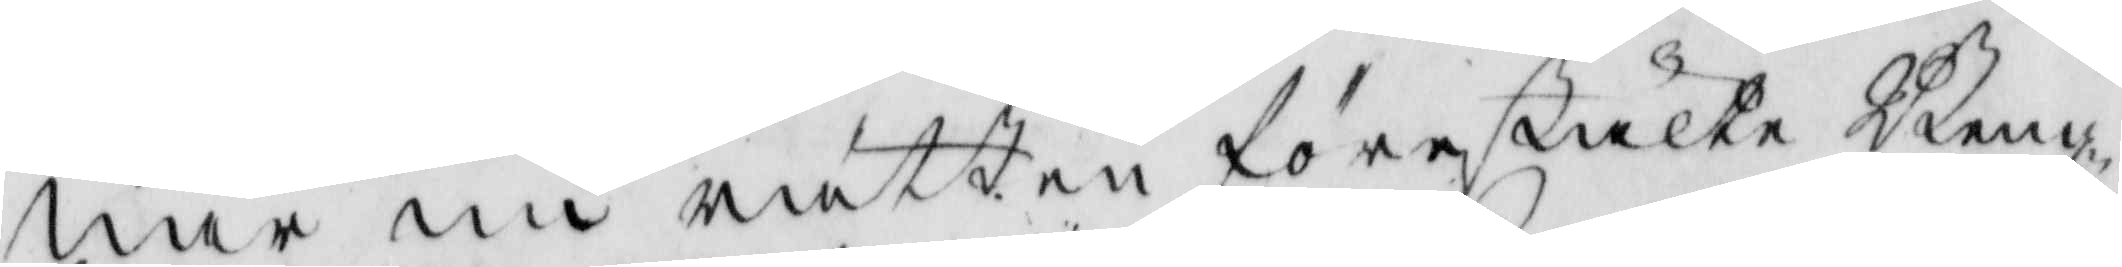när nu rätten förestälte Beng-
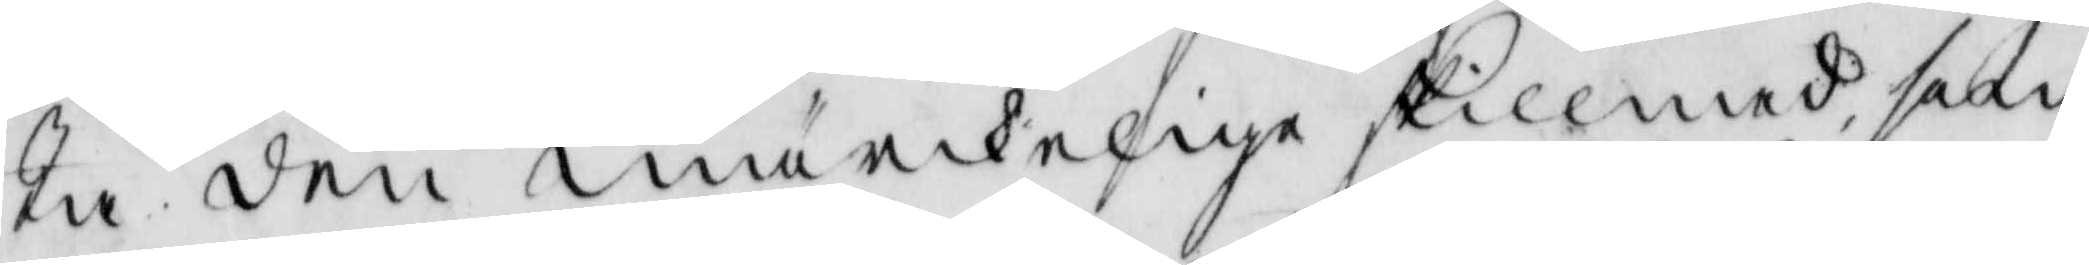ta den märckelige skillnad som
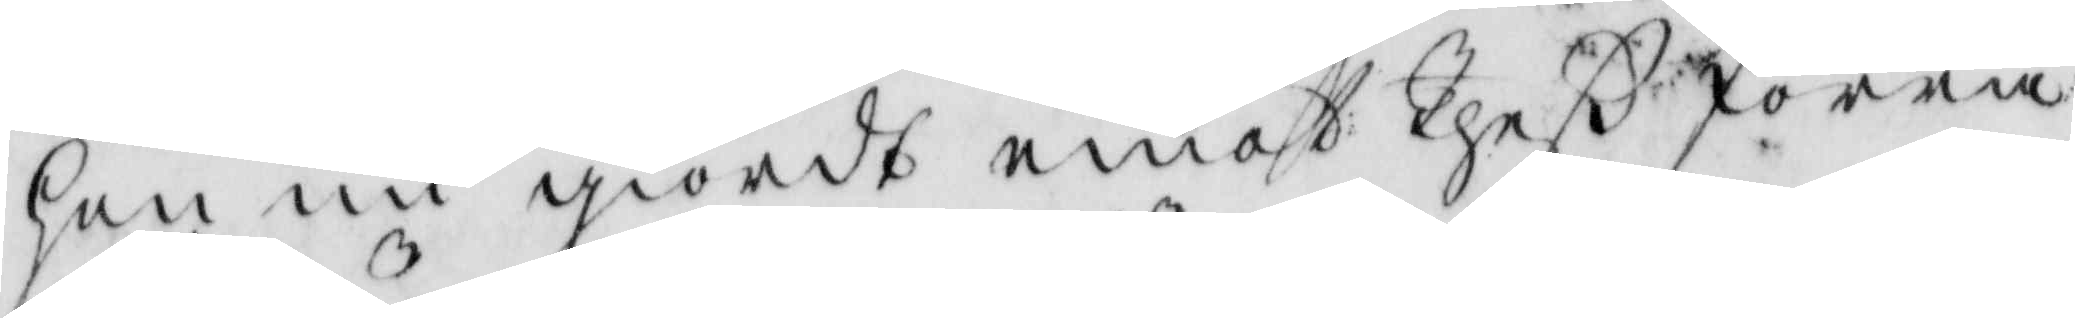hon nu giordt emot theß förra
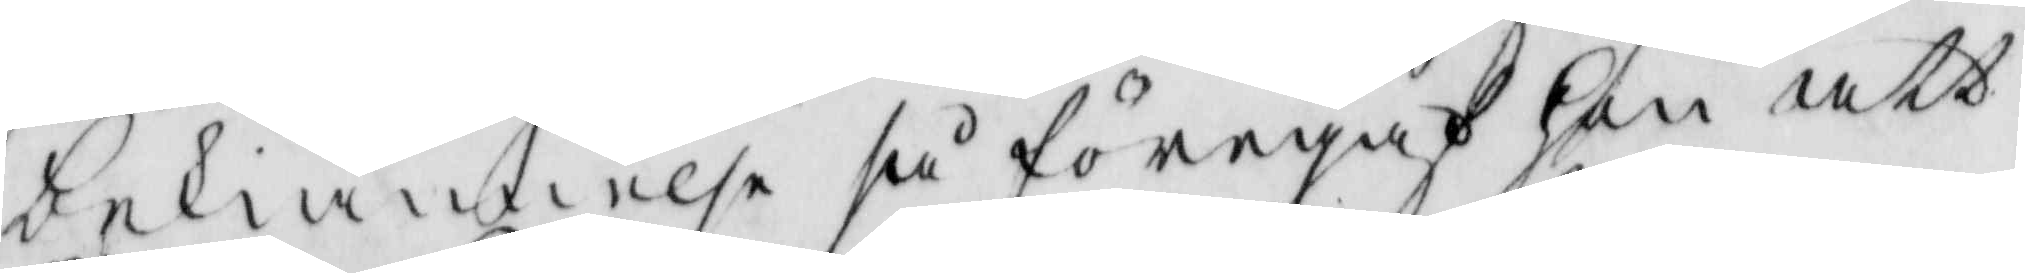bekiännelse så föregaf hon att
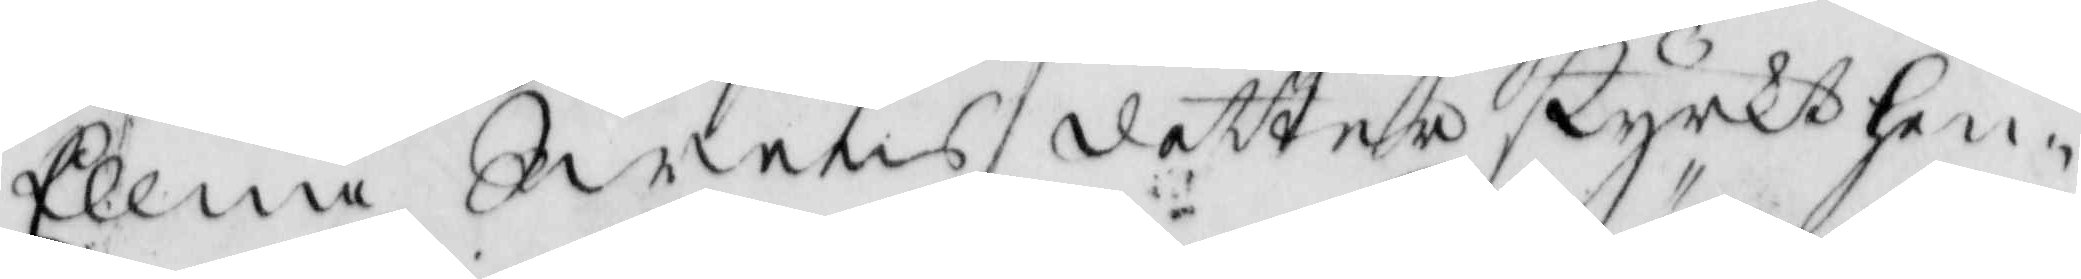Ellna Swens dotter styrkt hen-
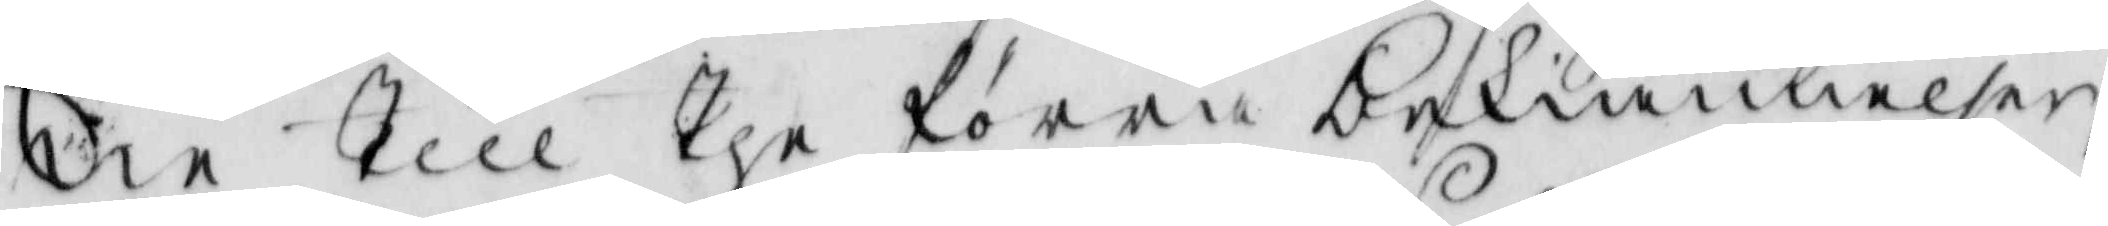nie till the förra bekiännelser,
